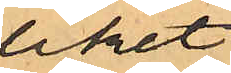liket
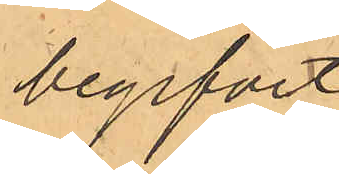begifvit
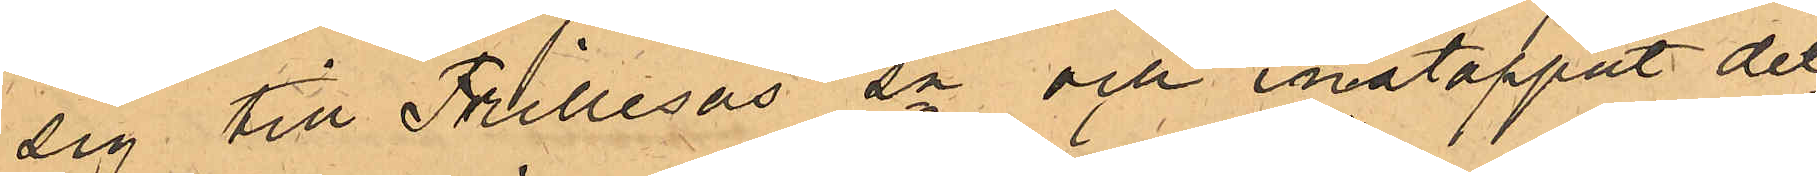sig till Frillesås sn och instoppat det¬
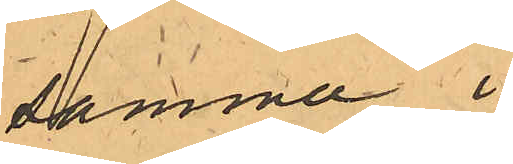samma i
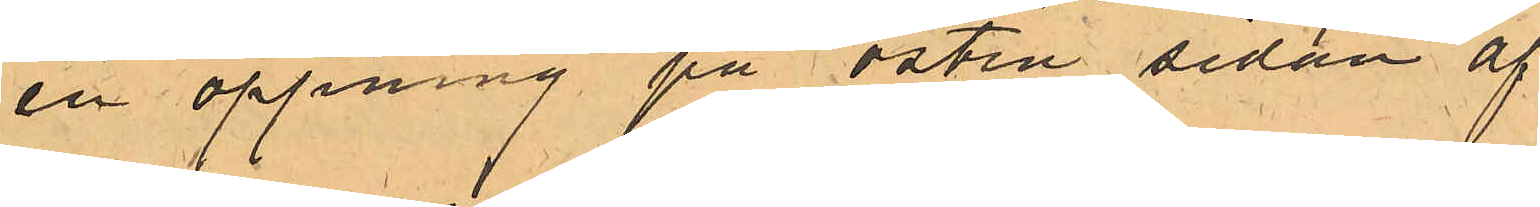en öppning på östra sidan af
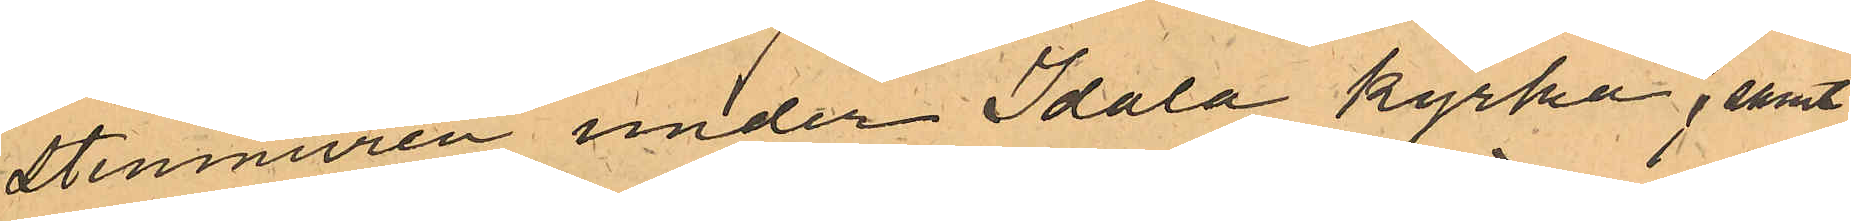stenmuren under Idala Kyrka, samt
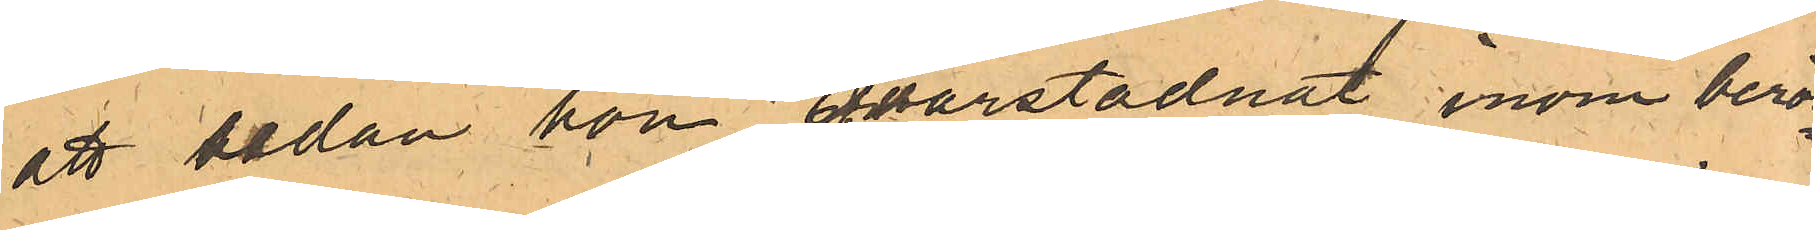att sedan hon qvarstadnat inom berör¬
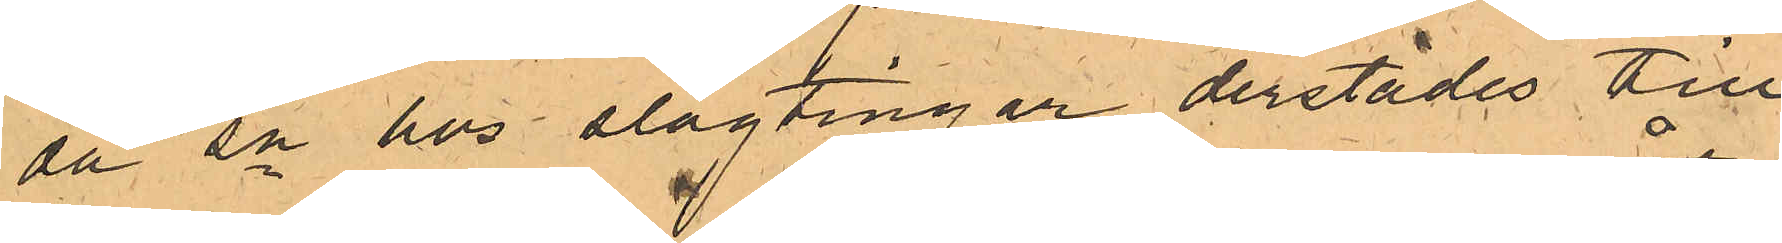da sn hos släktingar derstädes till
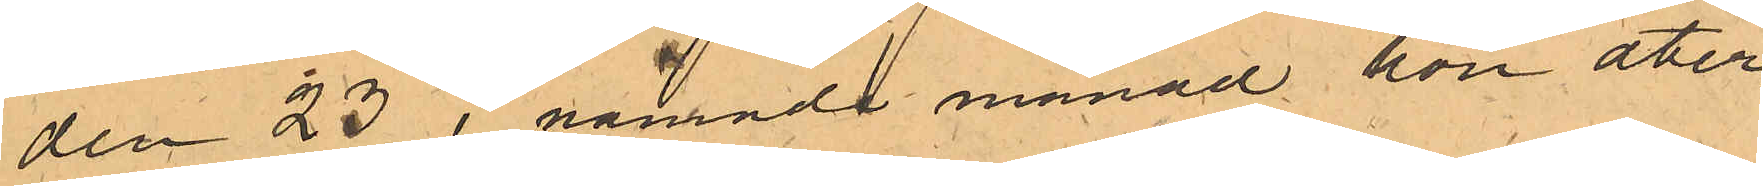den 23 i nämnde månad hon åter¬
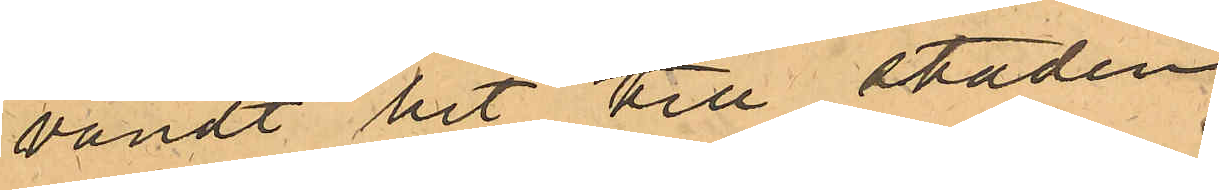vändt hit till staden.
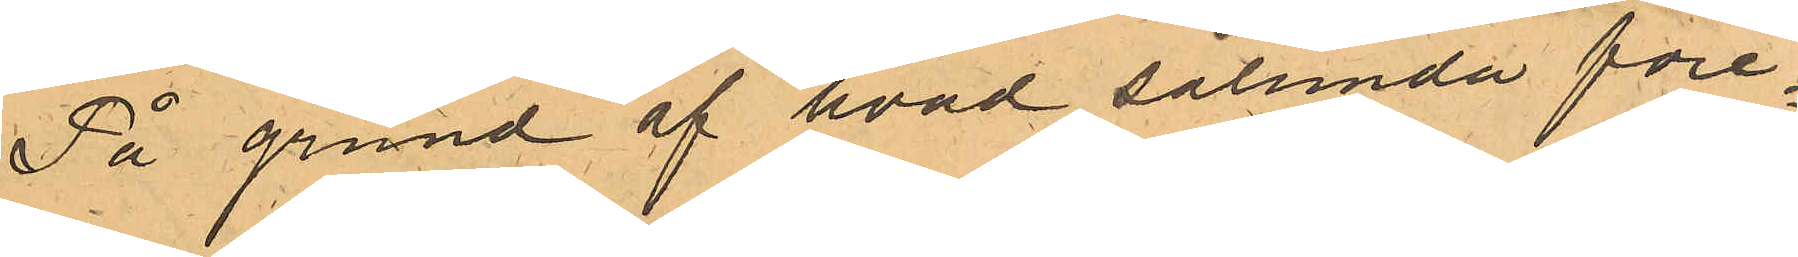På grund af hvad sålunda före¬
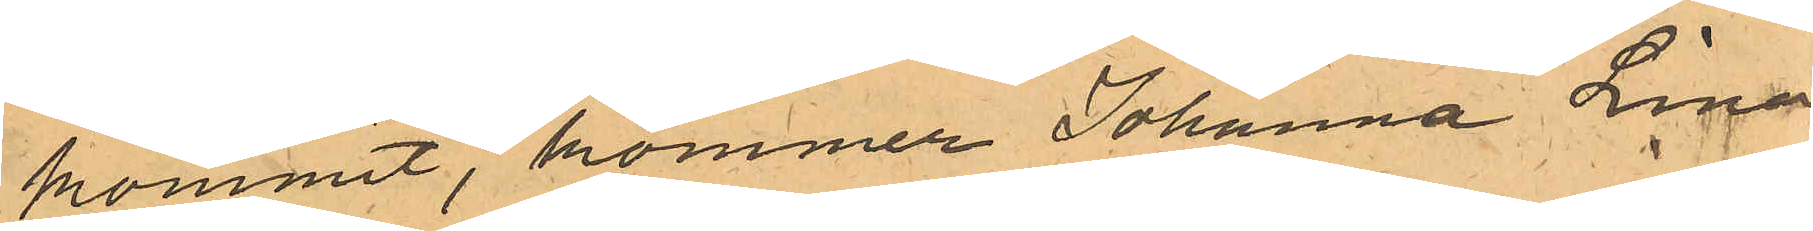kommit, kommer Johanna Lina
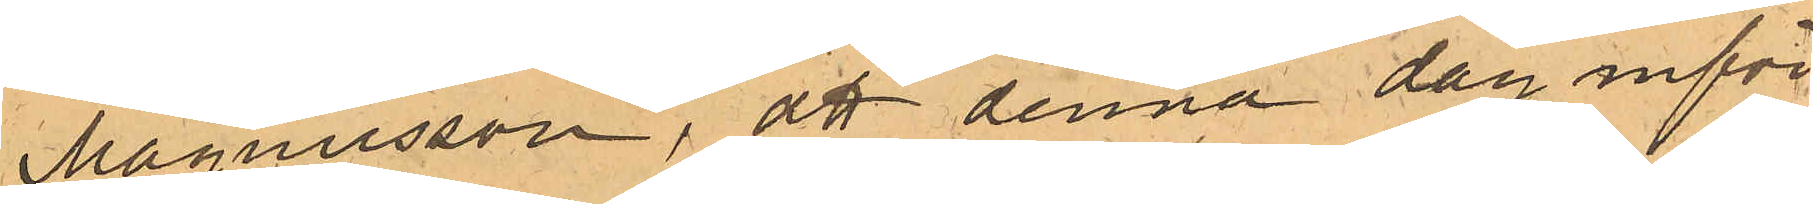Magnusson, att denna dag inför 
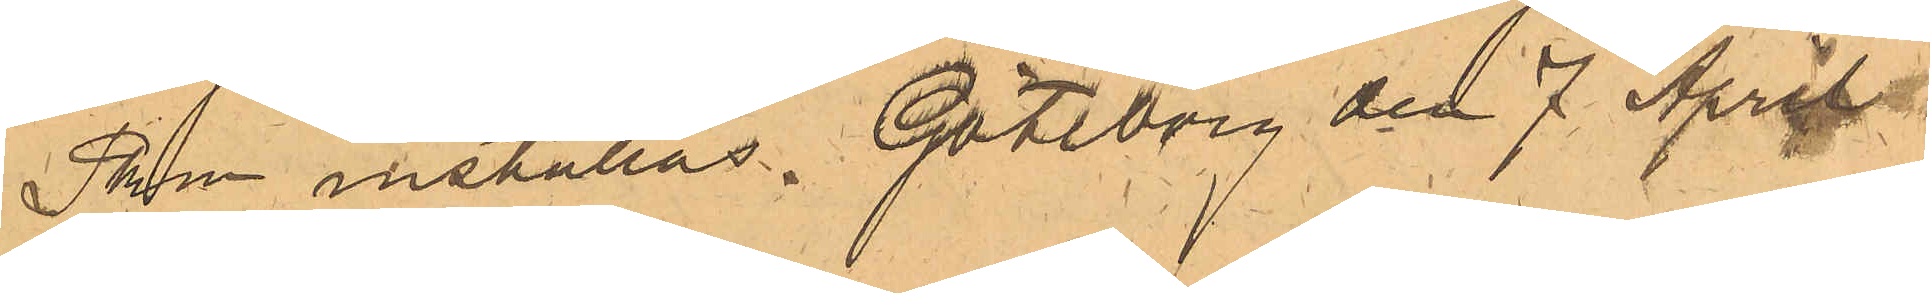Pkn inställas. Göteborg den 7 april
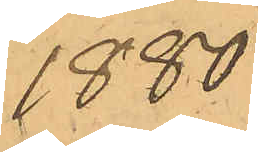1880.
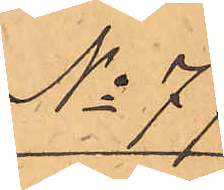No 77
